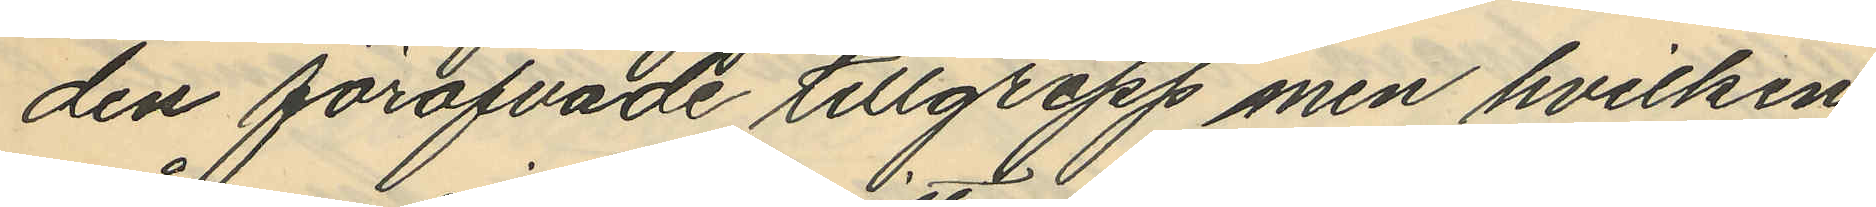den föröfvade tillgrepp men hvilken
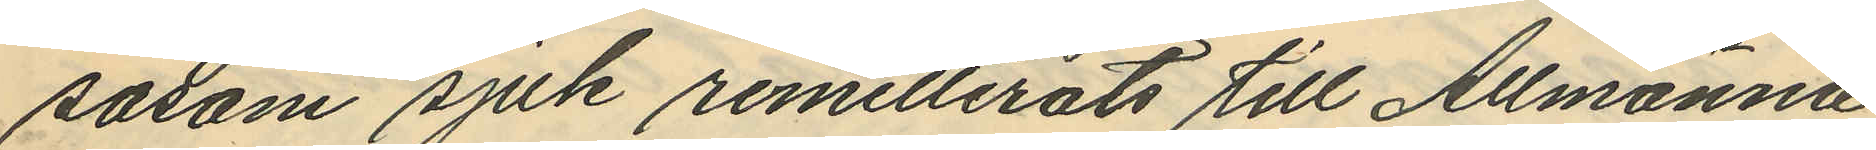såsom sjuk remitterats till Allmänna
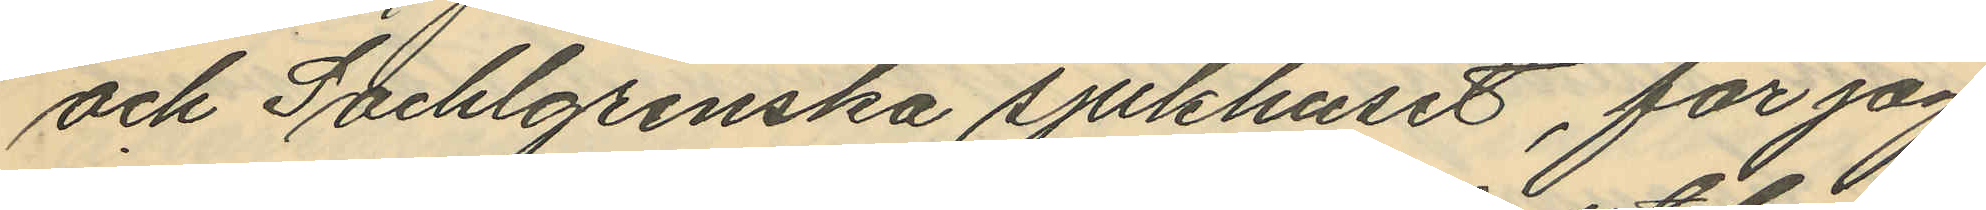och Sahlgrenska sjukhuset, får jag
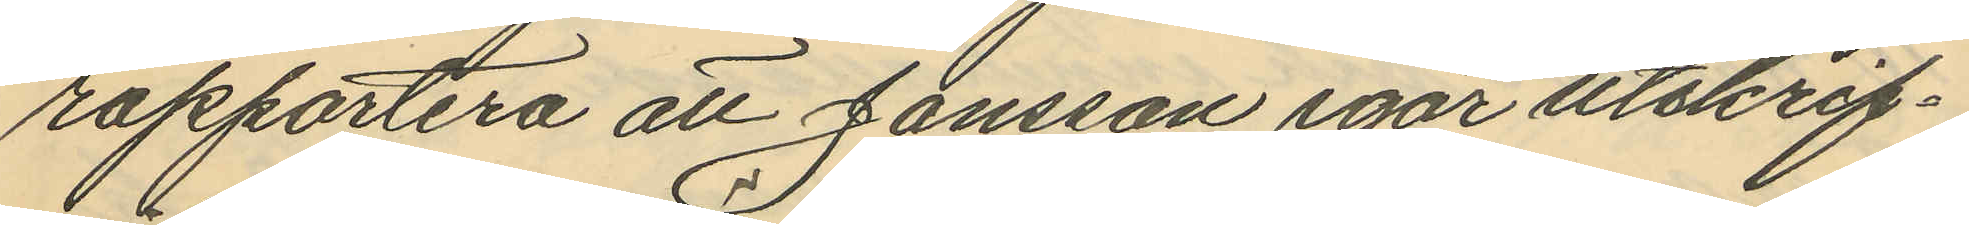rapportera att Jansson igår utskrif¬
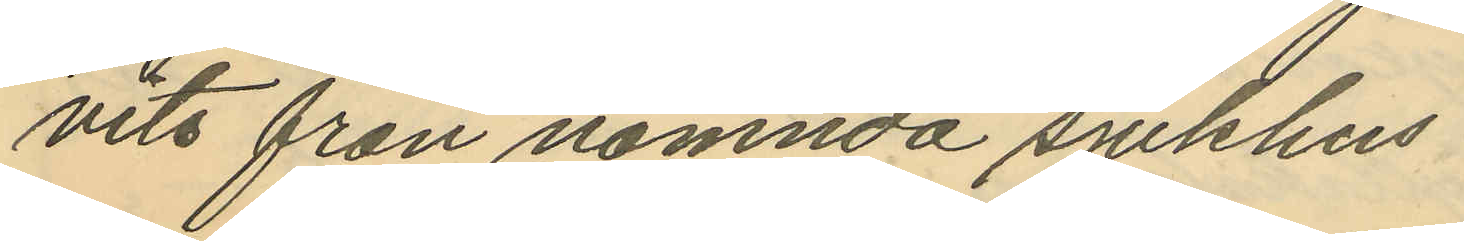vits från nämnda sjukhus.
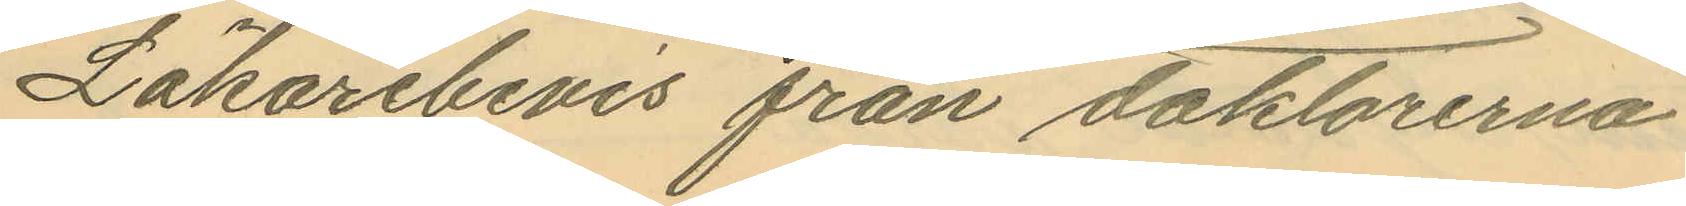Läkarebevis från doktorerna
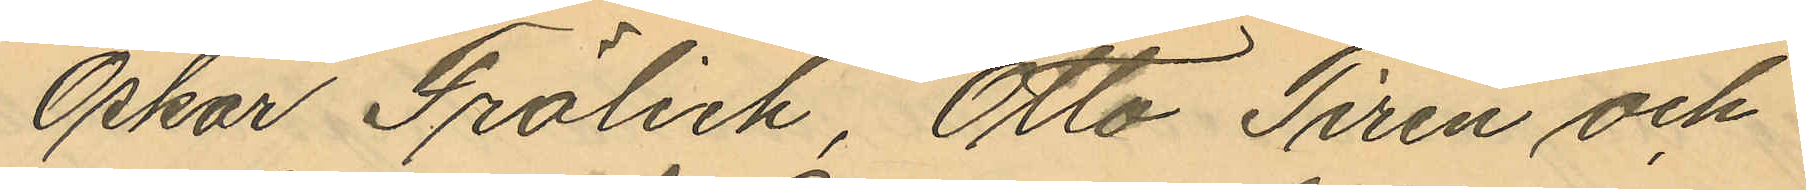Oskar Frölick, Otto Tiren och
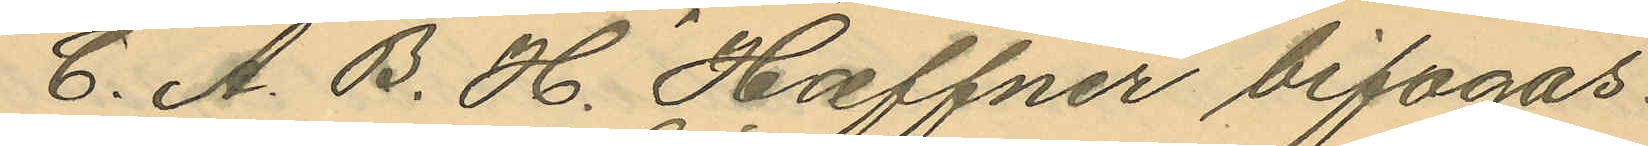C. A. B. H. Hæffner bifogas.
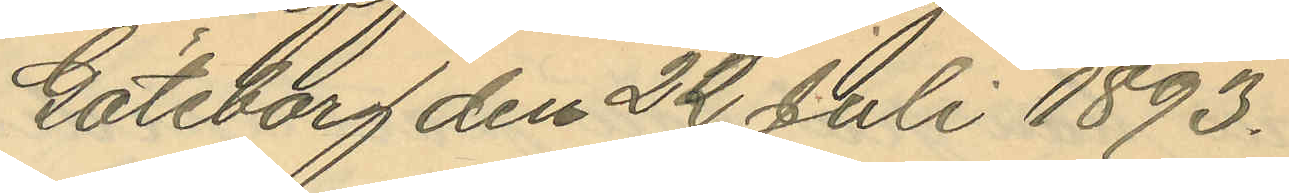Göteborg den 22 Juli 1893.
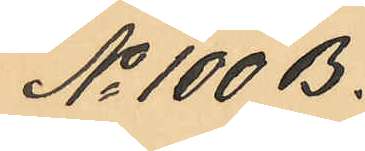No 100 B.
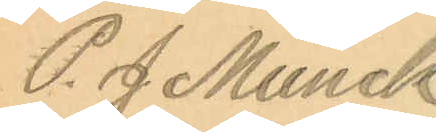P. J Munck
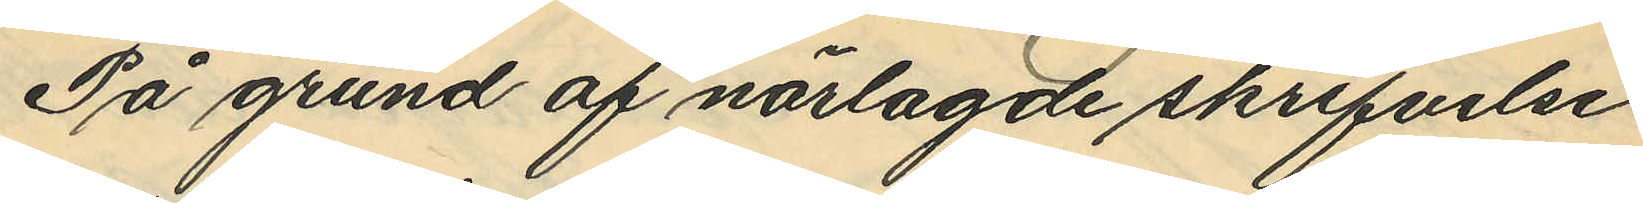På grund af närlagde skrifvelse
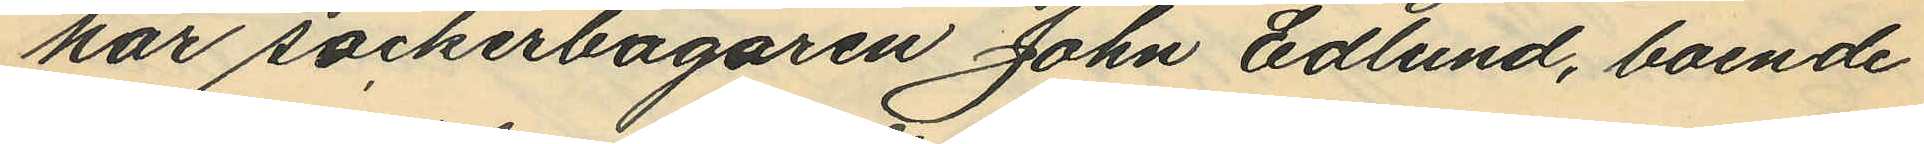har sockerbagaren John Edlund, boende
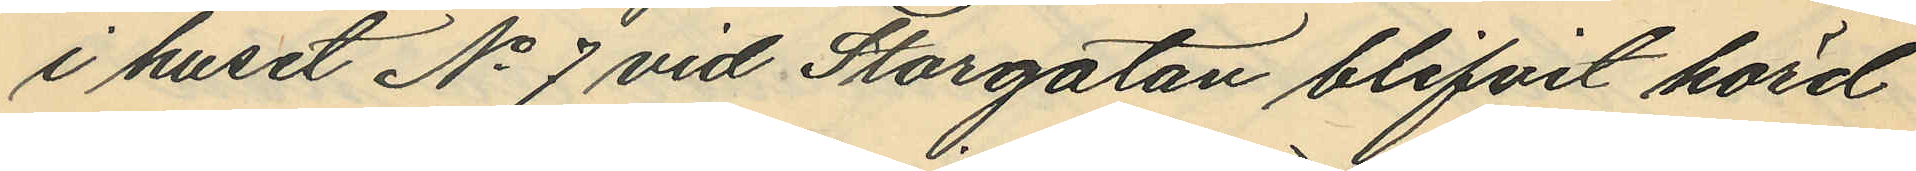i huset No 7 vid Storgatan blifvit hörd
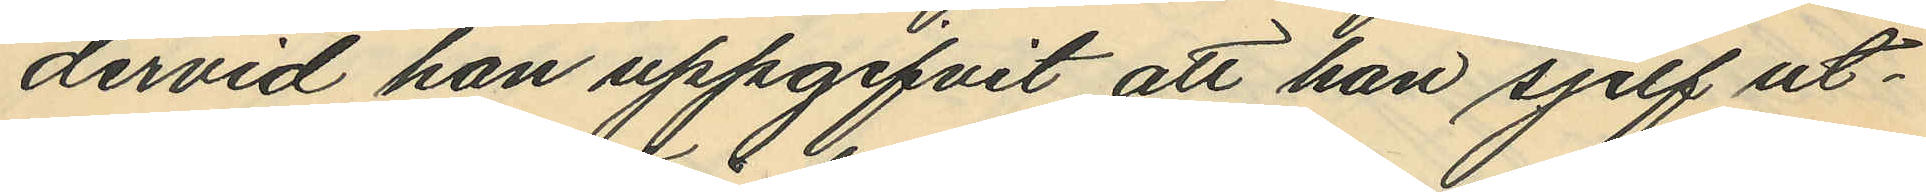dervid han uppgifvit att han sjelf ut¬
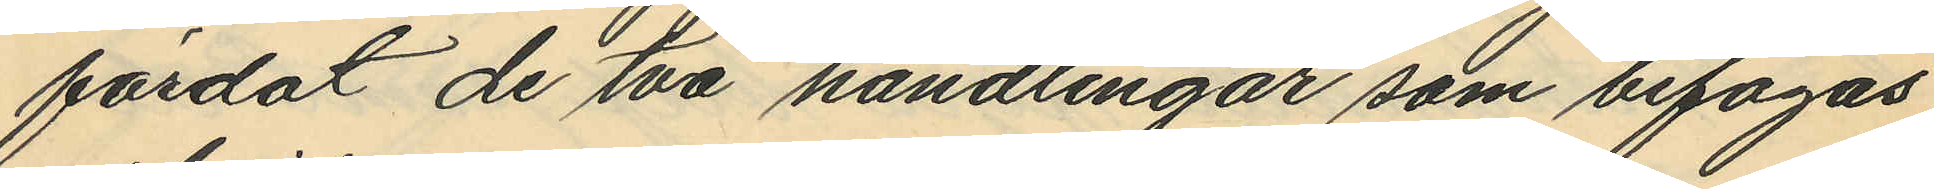färdat de två handlingar som bifogas
